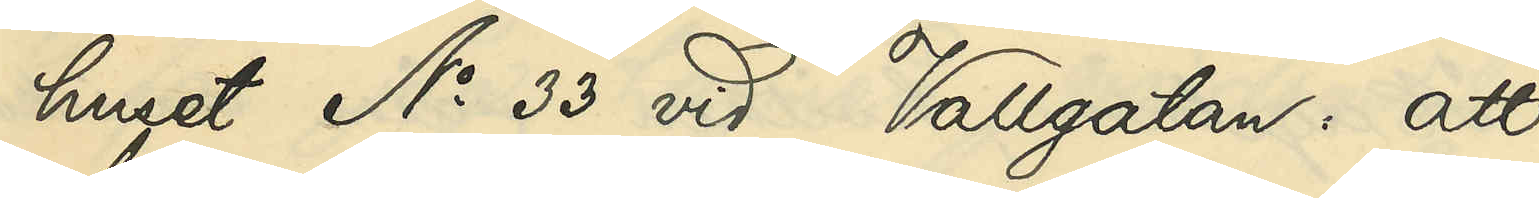huset No 33 vid Vallgatan: att
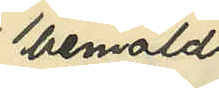bemälda
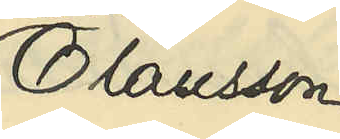Olausson
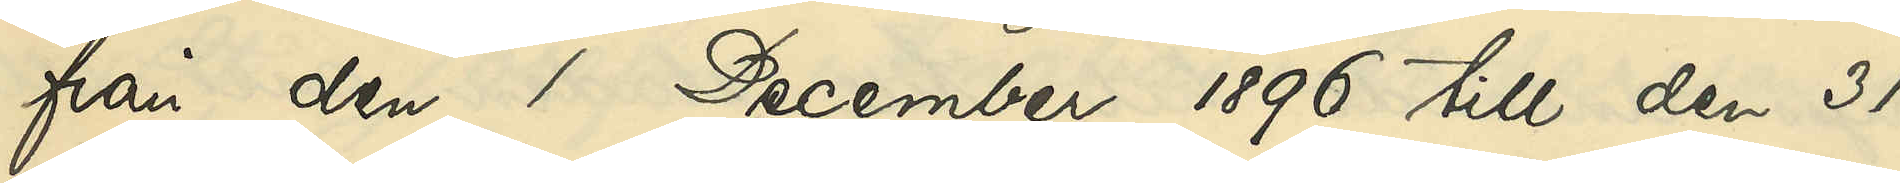från den 1 December 1896 till den 31
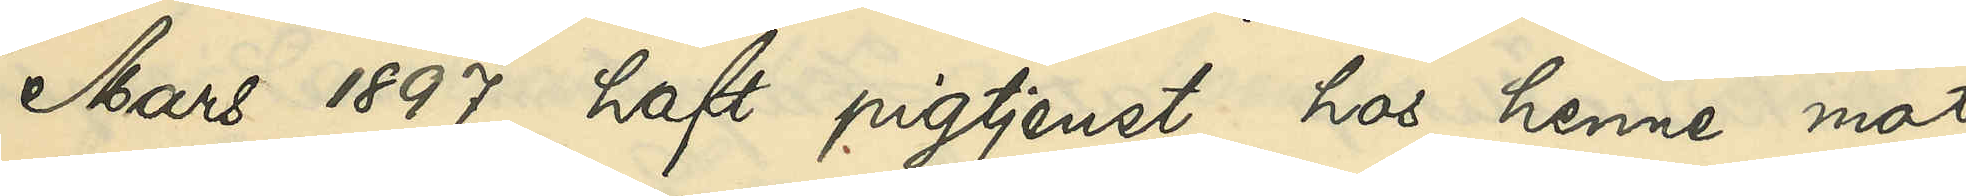Mars 1897 haft pigtjenst hos henne mot
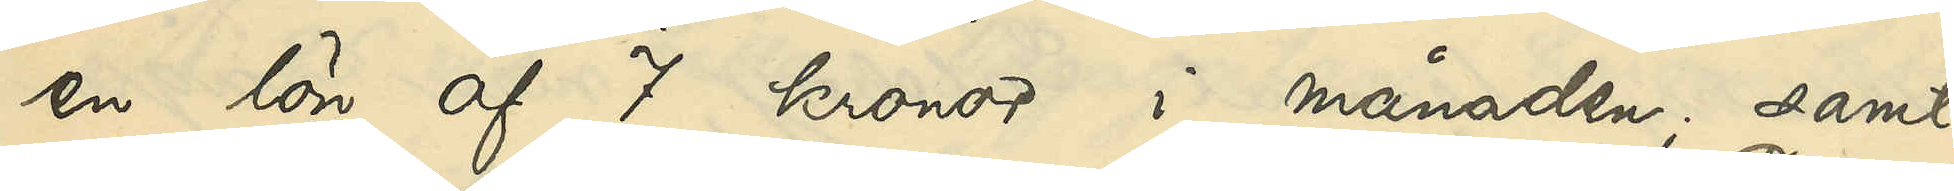en lön af 7 kronor i månaden; samt
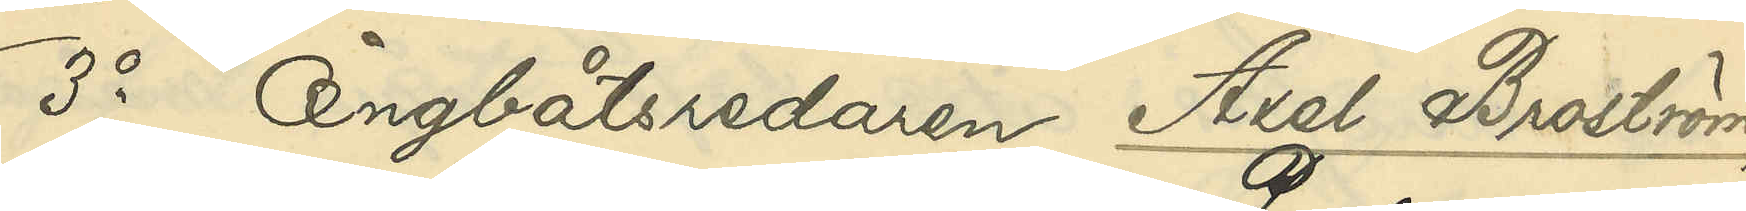3o Ångbåtsredaren Axel Broström,
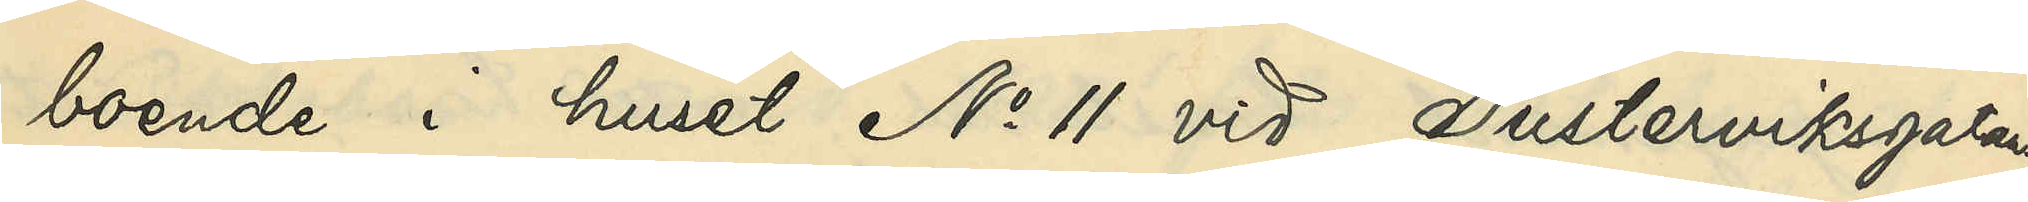boende i huset No 11 vid Pusterviksgatan
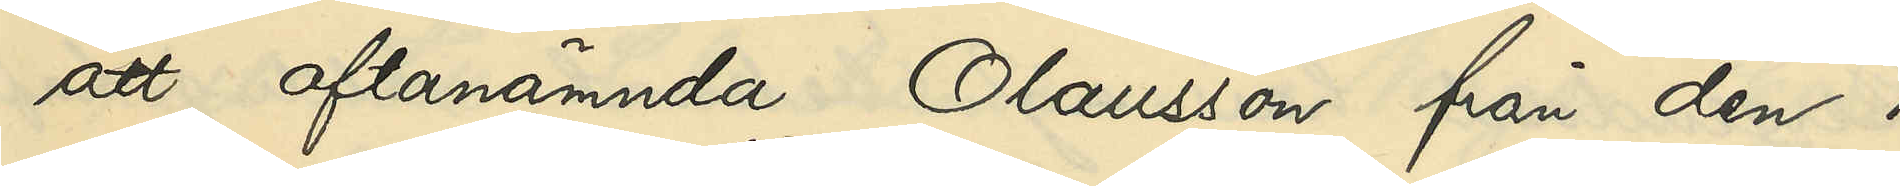att oftanämnda Olausson från den 1
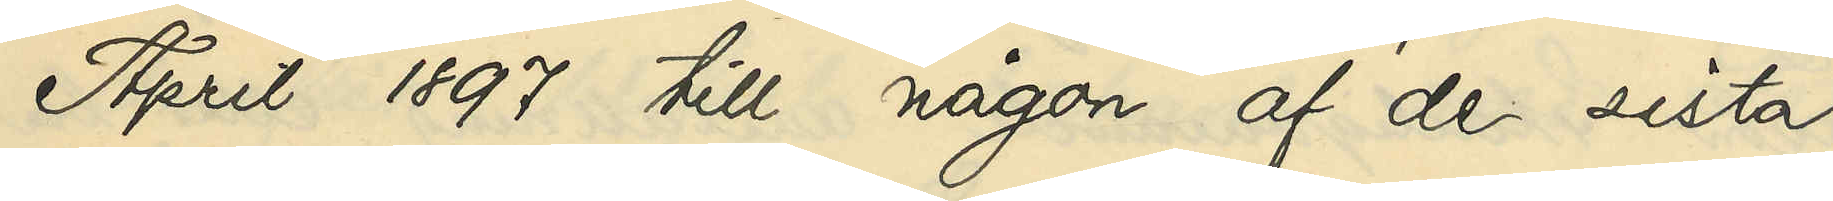April 1897 till någon af de sista
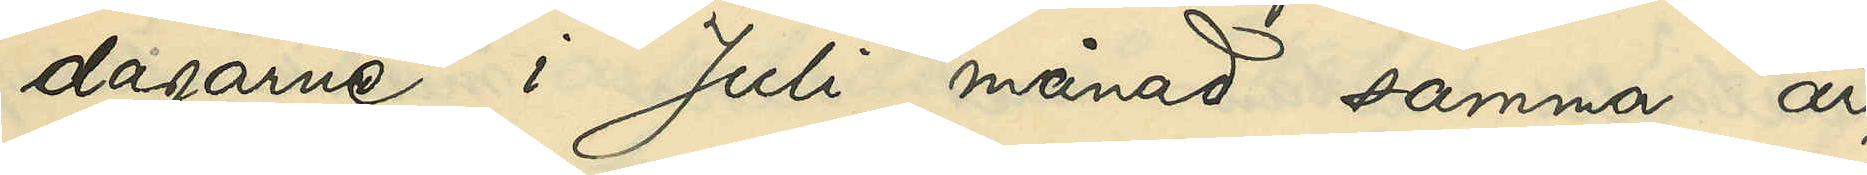dagarne i Juli månad samma år
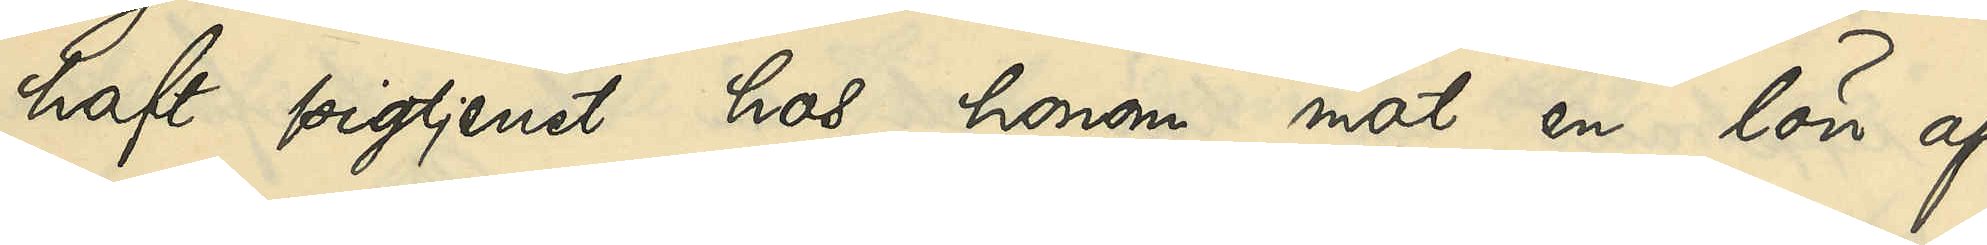haft pigtjenst hos honom mot en lön af
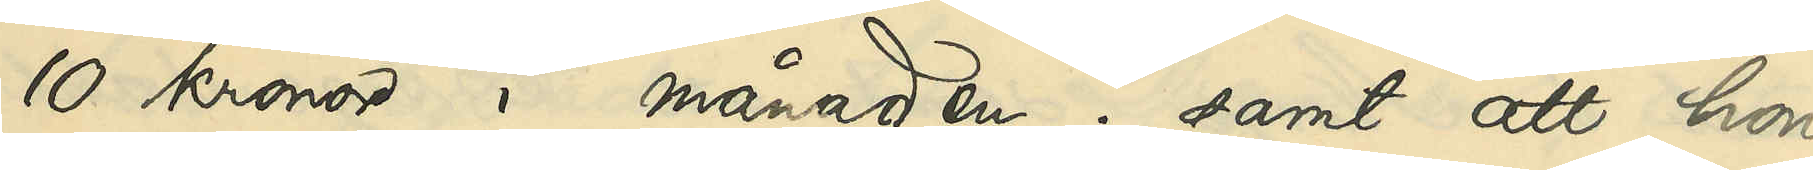10 kronor i månaden; samt att hon
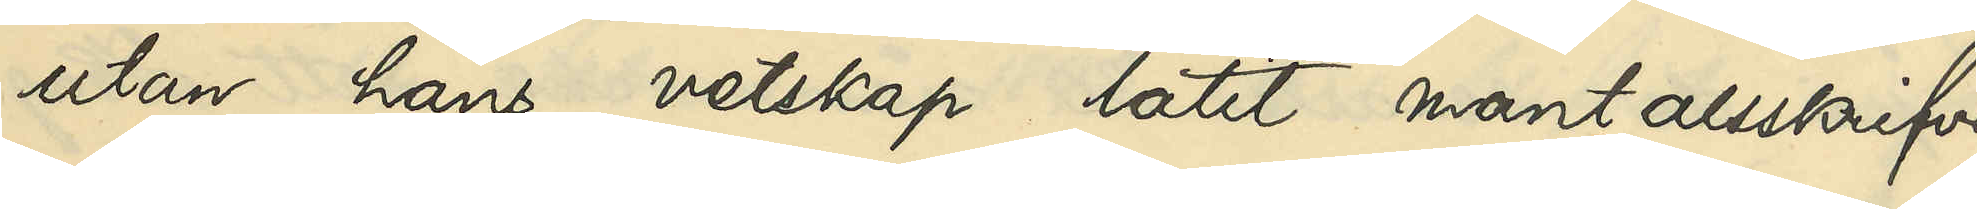utan hans vetskap låtit mantalsskrifva
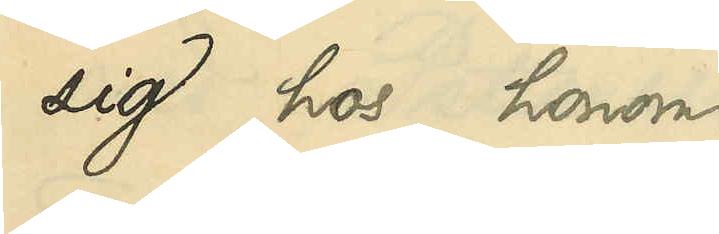sig hos honom.
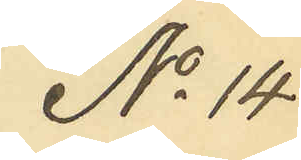No 14
